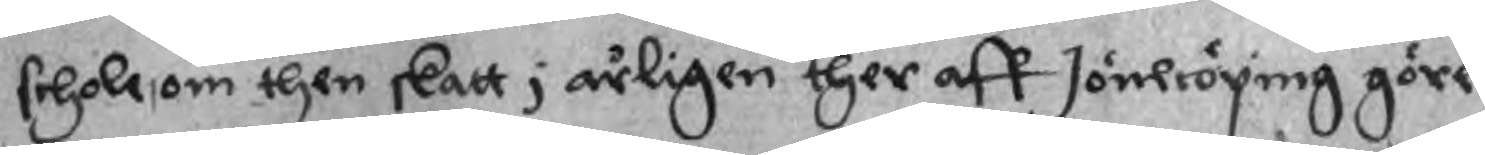schole, om then skatt i årligen ther aff Jönkiöping göre
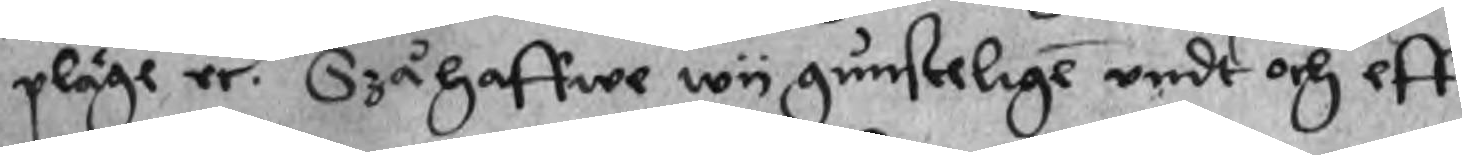pläge re. Szå haffwe wy gunstelige undt och eff¬
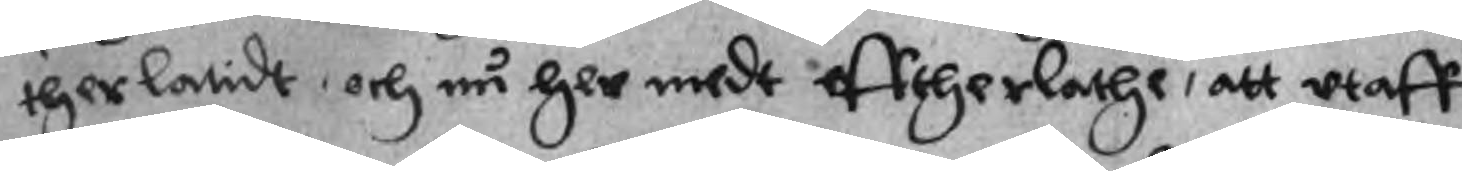therlatidt, och nu her medt efftherlathe, att utaff
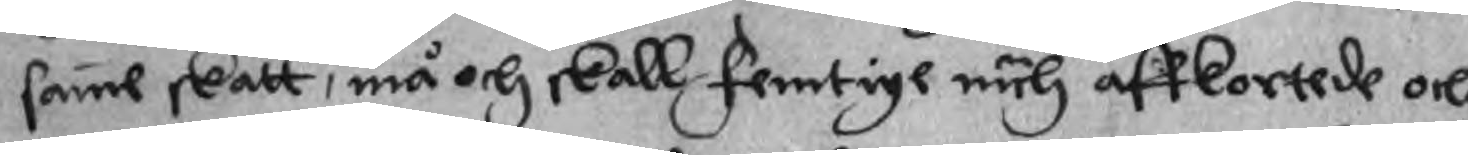samme skatt, må och skall femtige nuh affkortede och
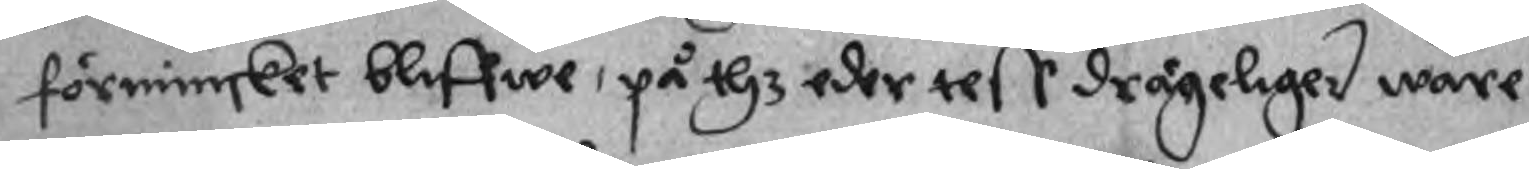förminsket bliffwe, på thz eder tess drägeliger ware
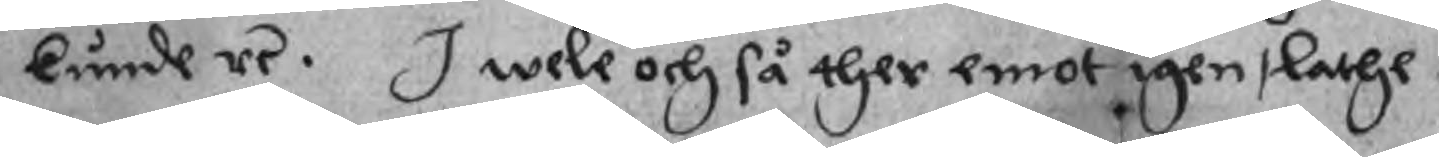kunde re. I wele och så ther emot igen, lathe
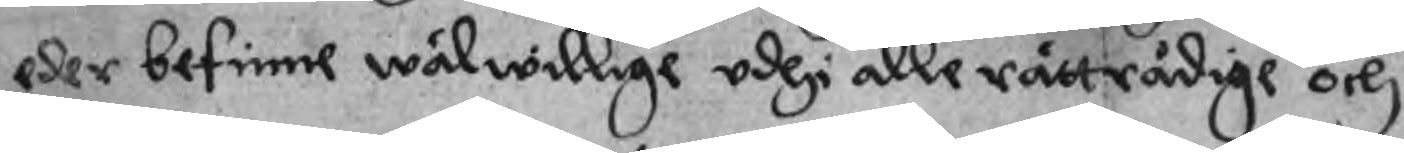eder befinne wälwillige udhi alle rättrådige och
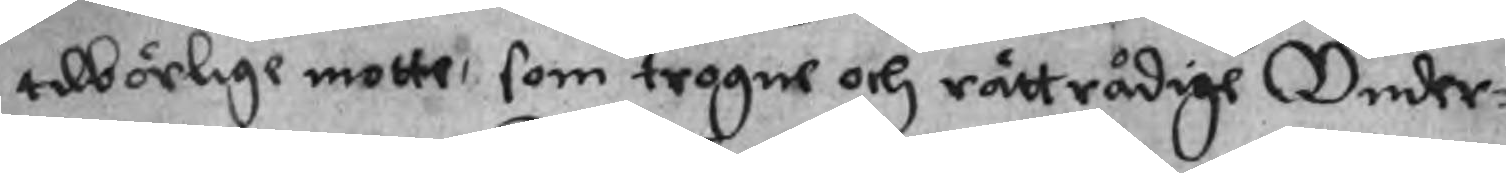tilbörlige motte, som trogne och rättrådige Under¬
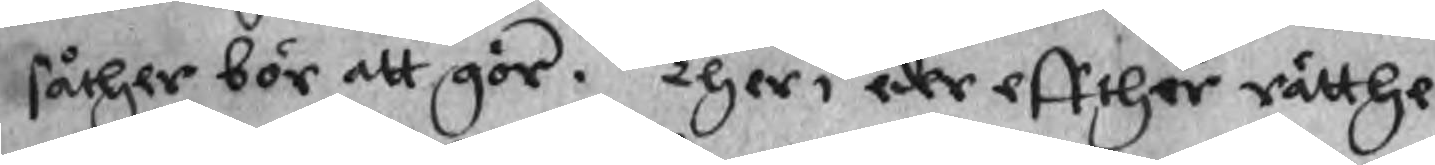såther bör att gör. Ther i eder effther rätthe
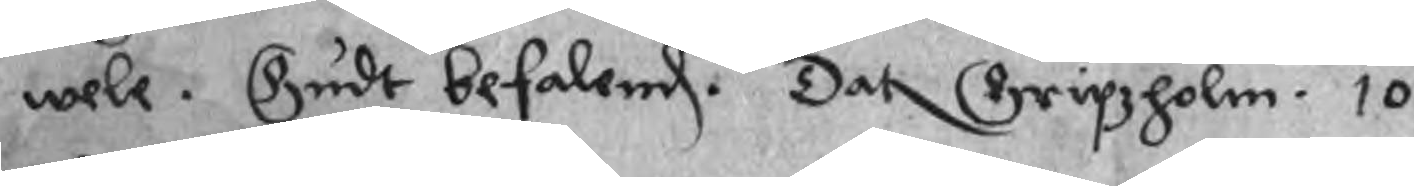wele. Gudt befalend. Dat Gripzholm. 10
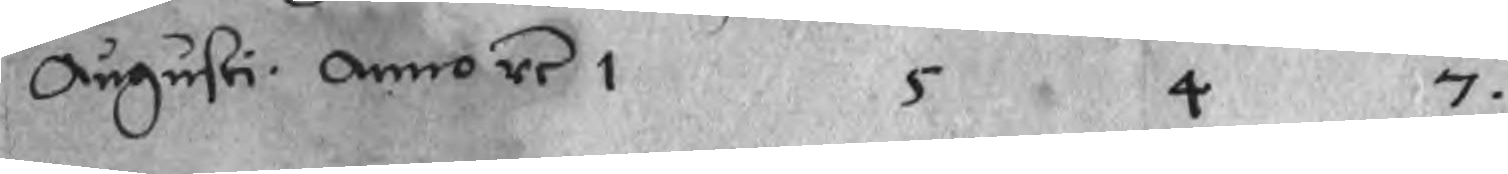Augusti. Anno re 1 5 4 7
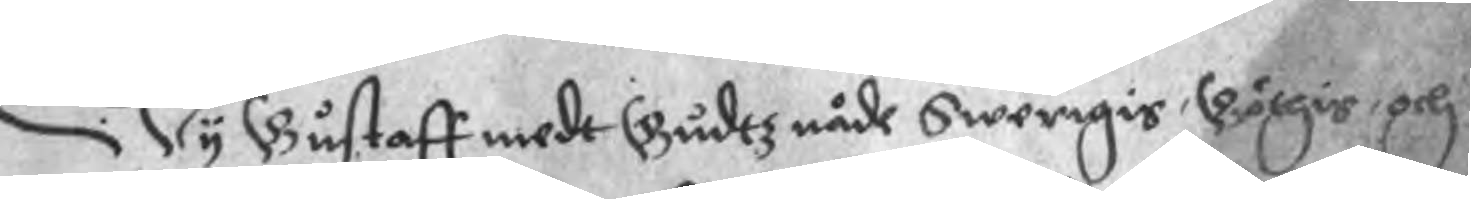Wy Gustaff medt Gudtz nåde Swerigis, Göthis, och
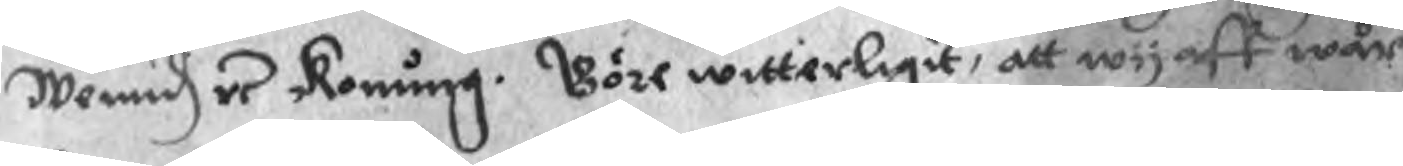Wenid re Konung. Göre witterligit, att wij aff wår
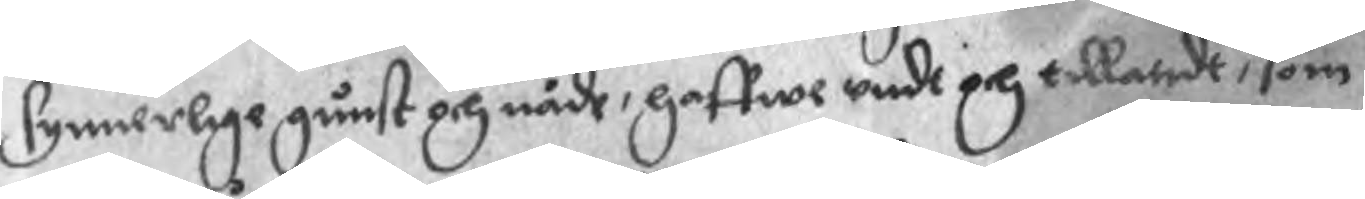synnerlige gunst och nåde, haffwe undi och tillandt, som
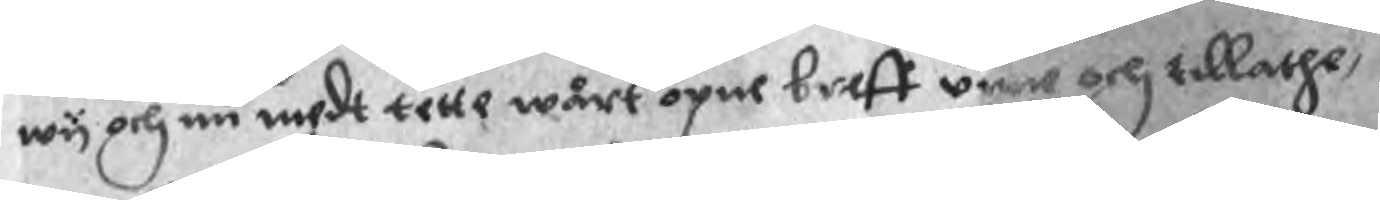wy och nu medt tette wårt opne breff une och tillathe,
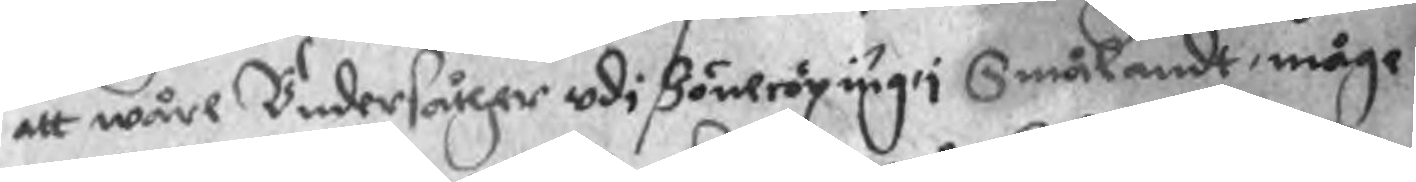att wåre Undersåther udi Jönecöping i Smålandt, måge
